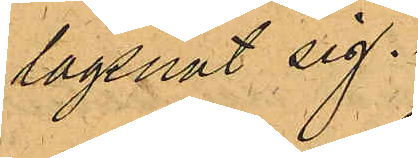lägsnat sig.
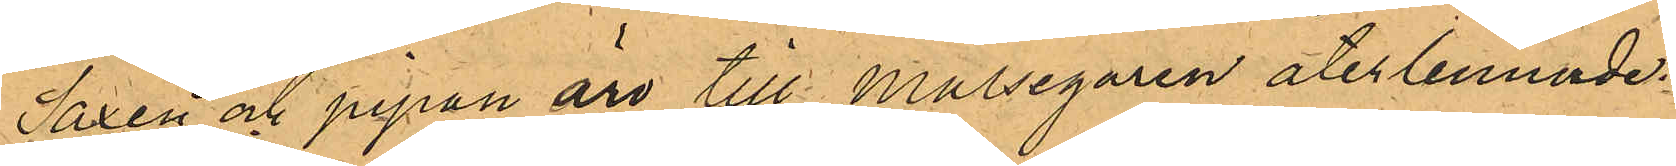Saxen och pipan äro till Målsegaren återlemnade.
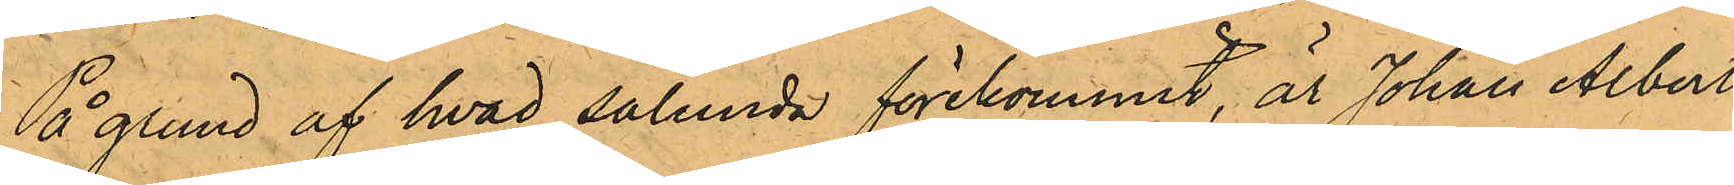På grund af hvad sålunda förekommit, är Johan Albert
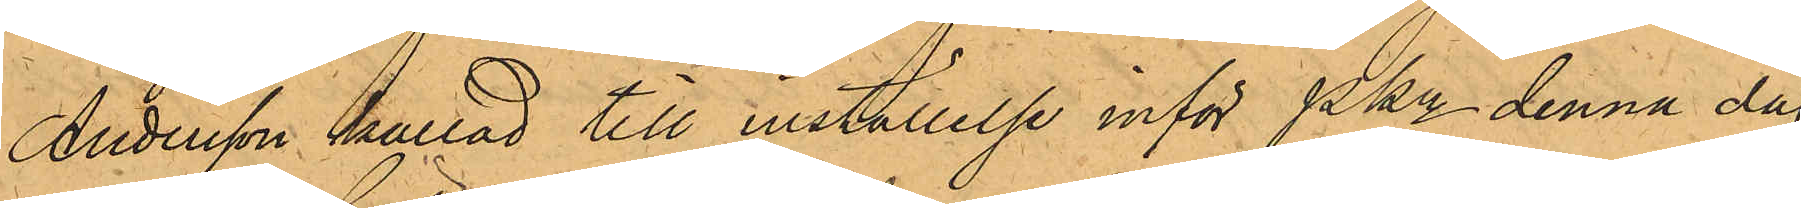Andersson kallad till inställelse inför Pkn denna dag
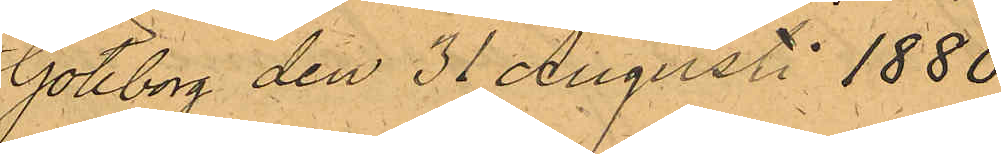Göteborg den 31 Augusti 1880.
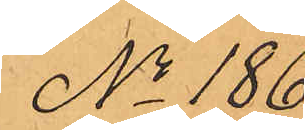No 186.
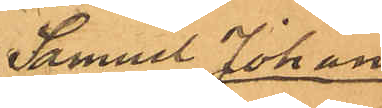Samuel Johan
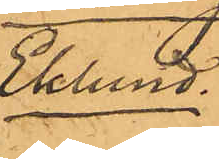Eklund.
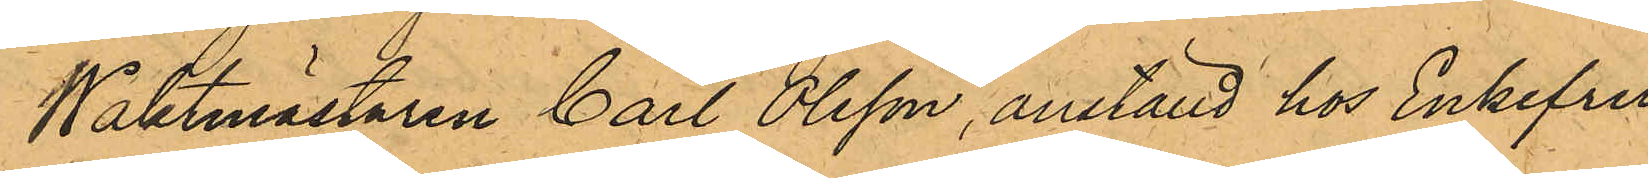Waktmästaren Carl Olsson, anställd hos Enkefru
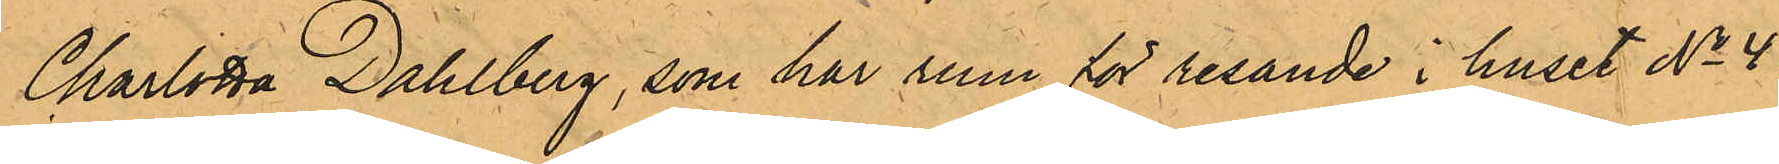Charlotta Dahlberg, som har rum för resande i huset No 44
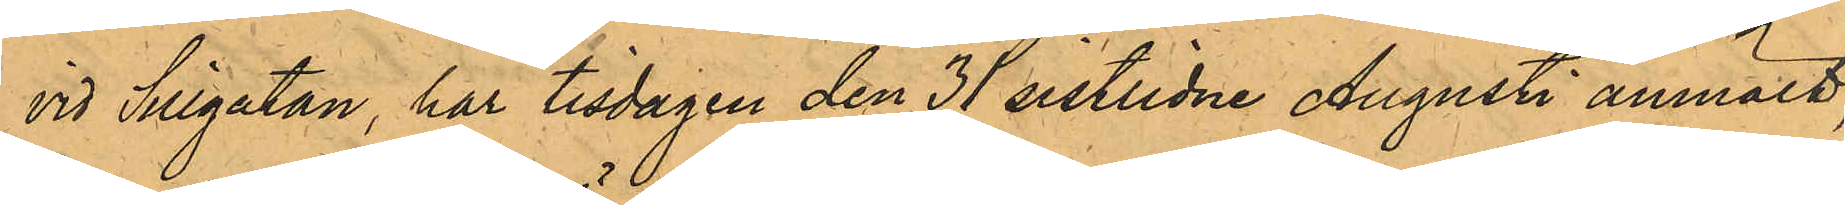vid Sillgatan, har tisdagen den 31 sistlidne Augusti anmält,
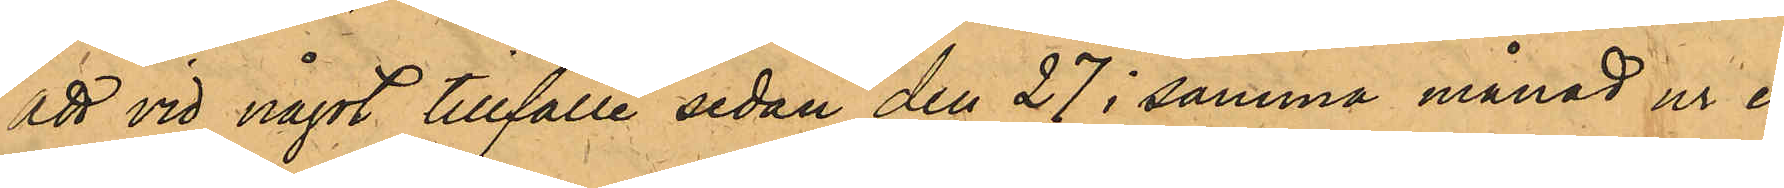att vid något tillfälle sedan den 27 i samma månad ur er
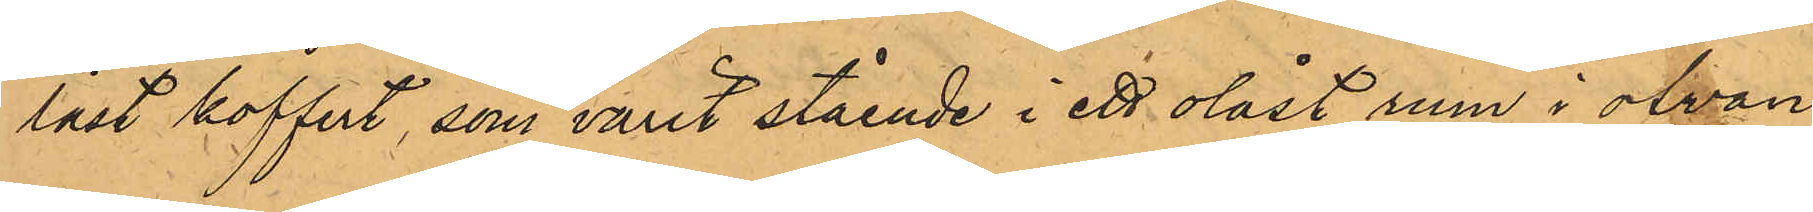låst koffert, som varit stående i ett olåst rum i ofvan¬
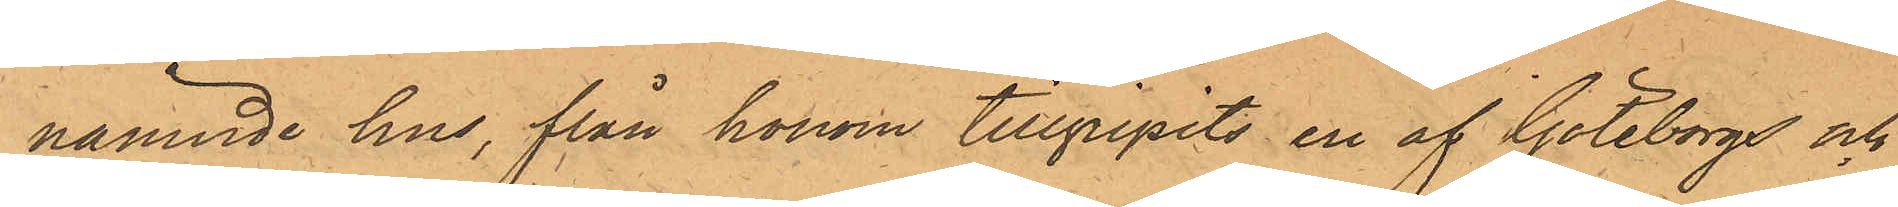nämnde hus, från honom tillgripits en af Göteborgs och
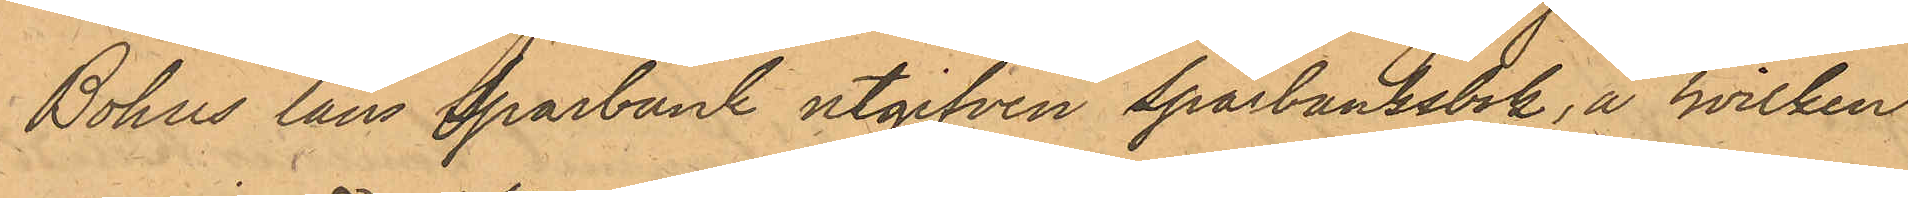Bohus läns sparbank utgifven sparbanksbok, å hvilken
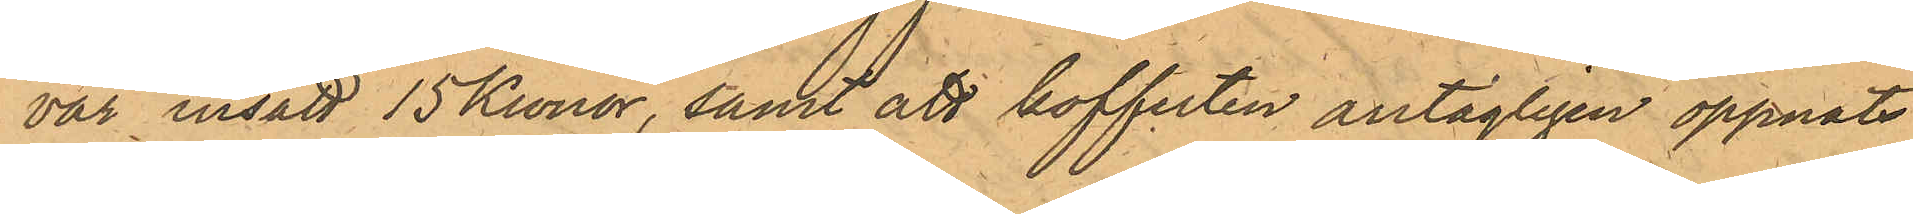var insatt 15 Kronor, samt att kofferten antagligen öppnats
